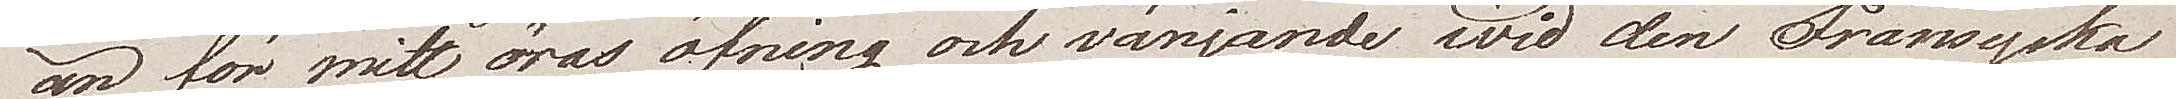än för mitt öras öfning och vänjande wid den Fransyska
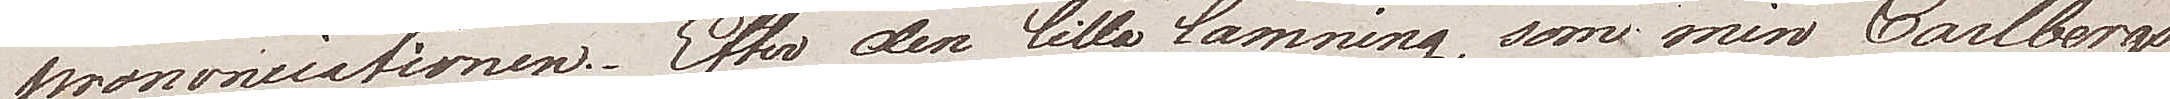Prononciationen. Efter den lilla lämning, som min Carlbergs¬
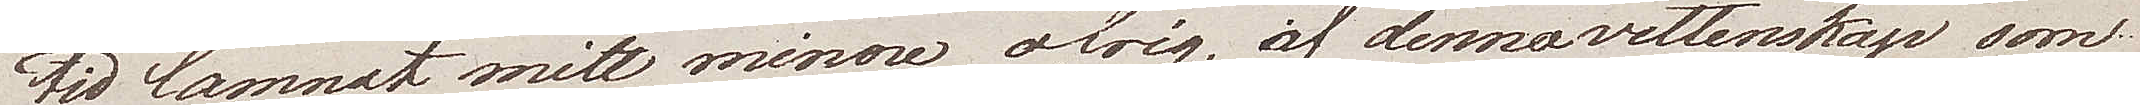tid lämnat mitt minne öfrig af denna vettenskap som
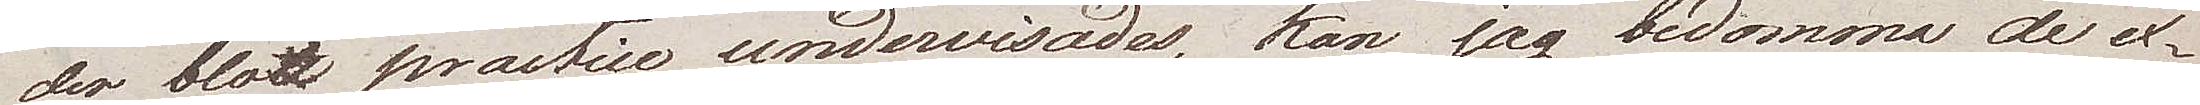der blott practice undervisades, kan jag bedomma de ex¬
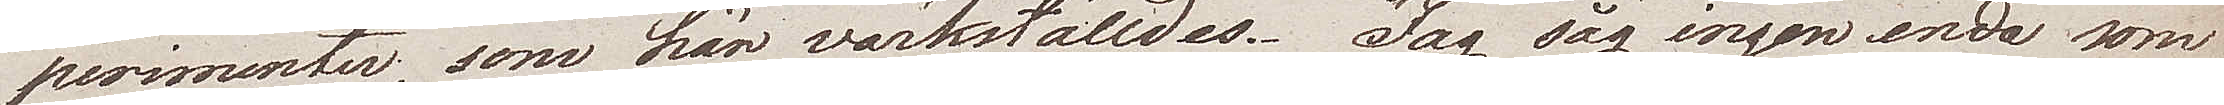perimenter, som här värkställdes. Jag såg ingen enda som
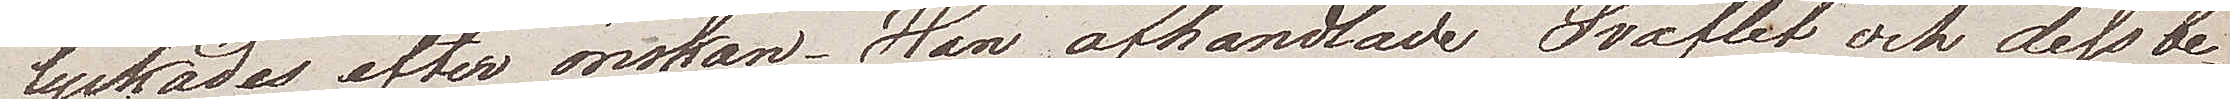lyckades efter önskan. Han afhandlade Svaflet och des be¬
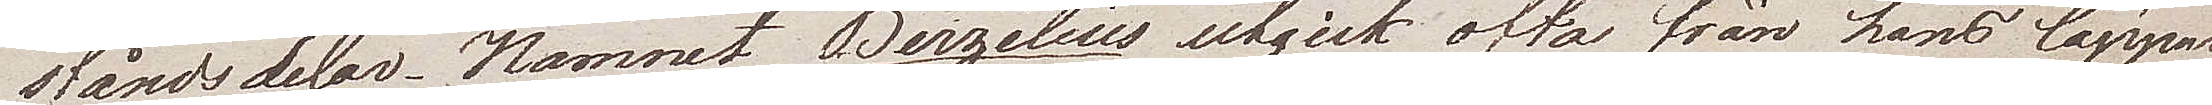ståndsdelar. Namnet Berzelius utgick ofta från hans läppar,
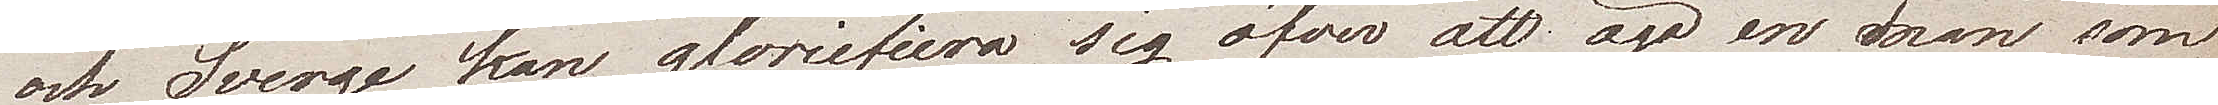och Sverige kan glorifiera sig öfver att äga en man som
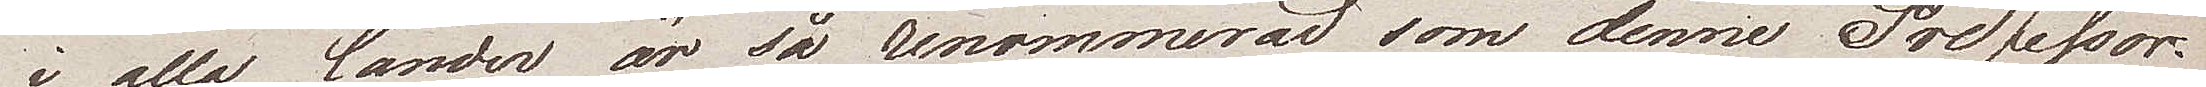i alla länder är så renommerad som denne Professor.
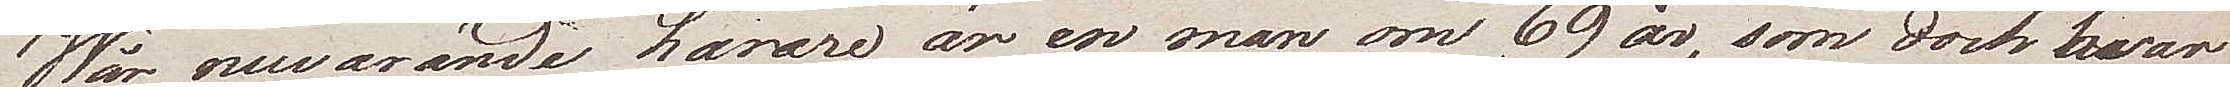Wår nuvarande lärare är en man om 69 år, som doch hvar
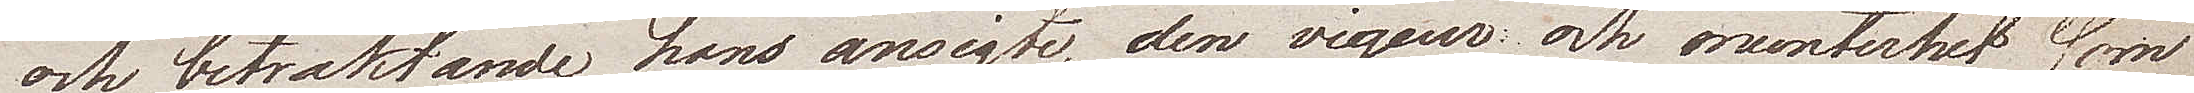och, betraktande hans ansigte, den vigeur och munterhet som
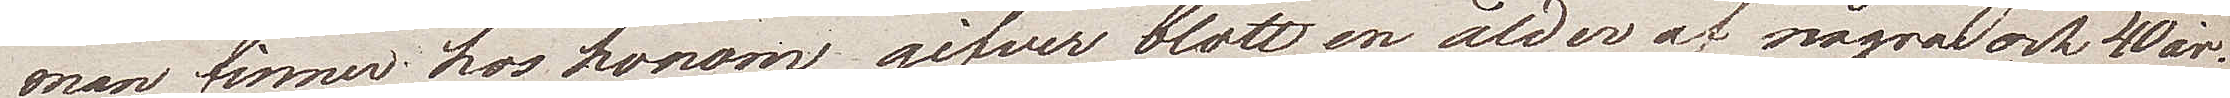man finner hos honom, gifver blott en ålder av några och 40 år.
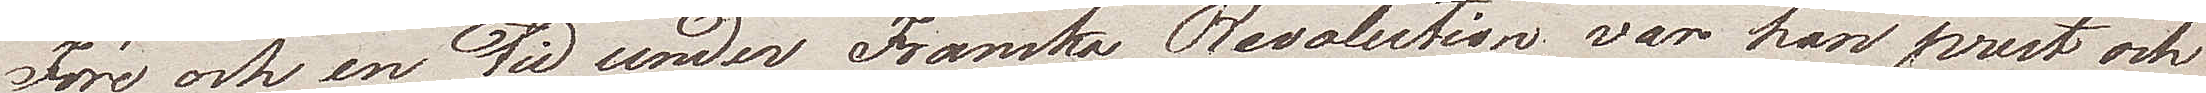Före och en tid under Franska Revolutionen, var han prest och
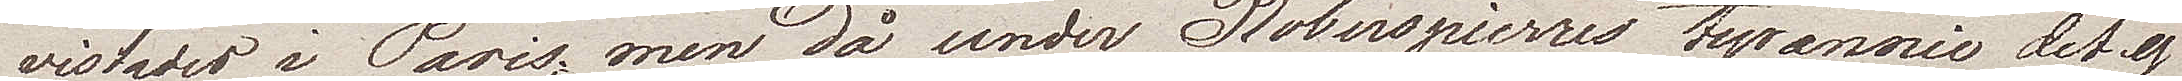vistades i Paris, men då under Robespierres tyrannie det ej
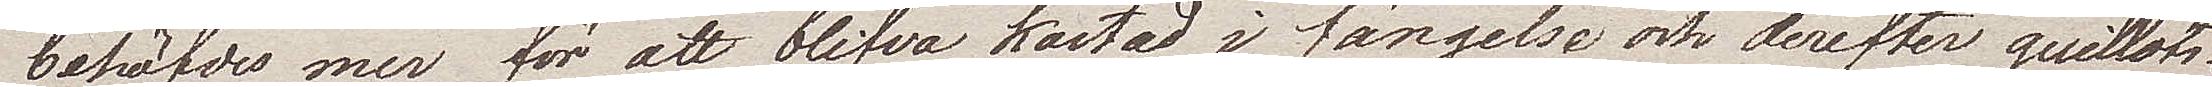behöfdes mer för att blifva kastad i fängelse och derefter guilloti¬
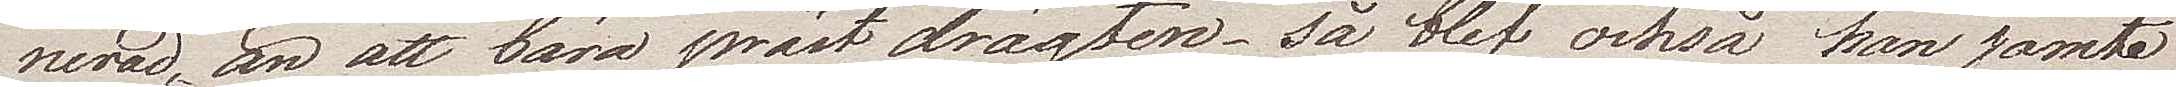nerad, än att bära präst drägten, så blef också han jämte
